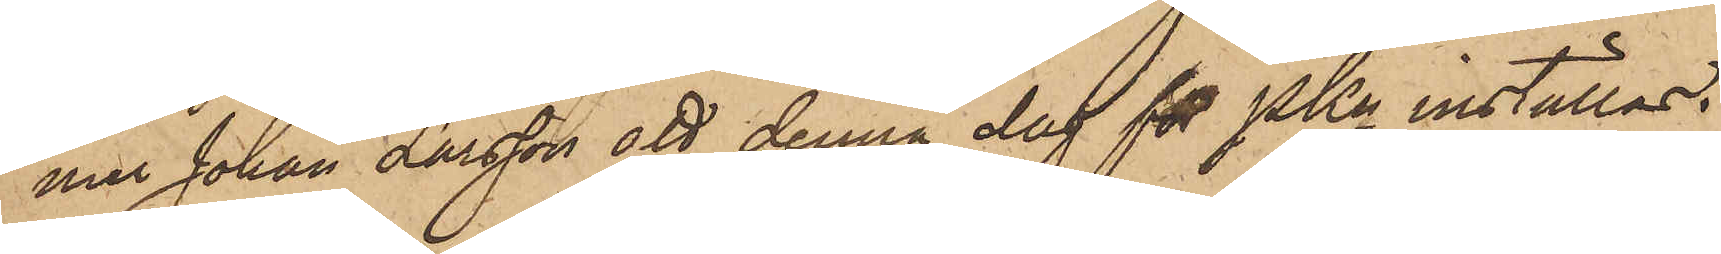mer Johan Larsson att denna dag för PKn inställas.
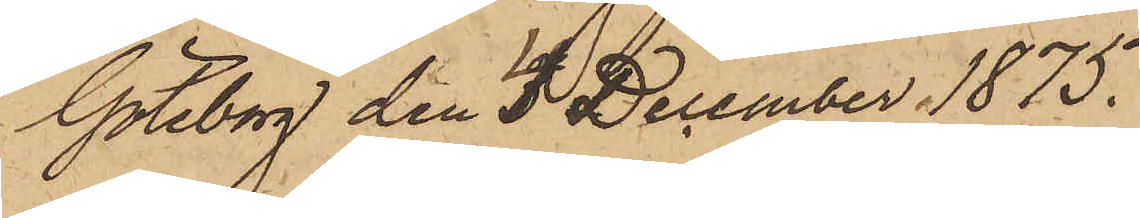Göteborg den 4 December 1875.
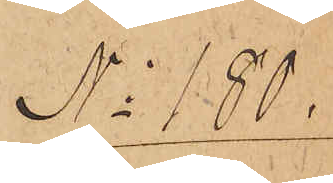No 180.
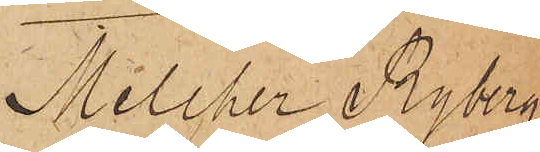Melcher Ryberg
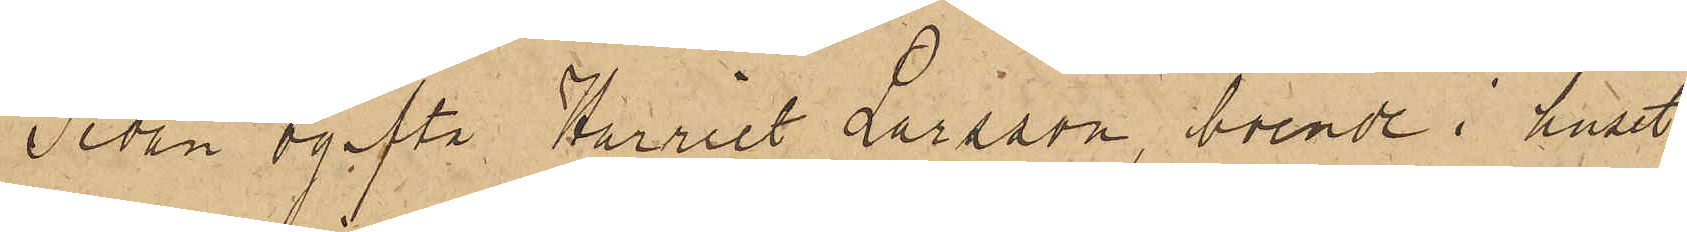Sedan ogifta Harriet Larsson, boende i huset
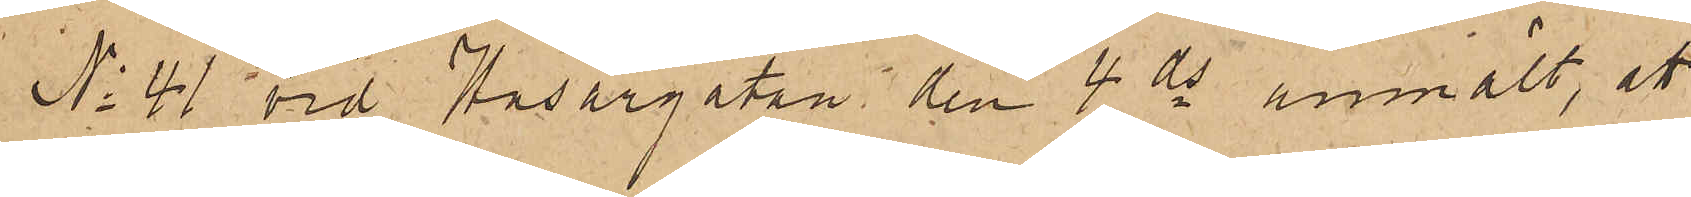No 41 vid Husargatan den 4 ds anmält, att
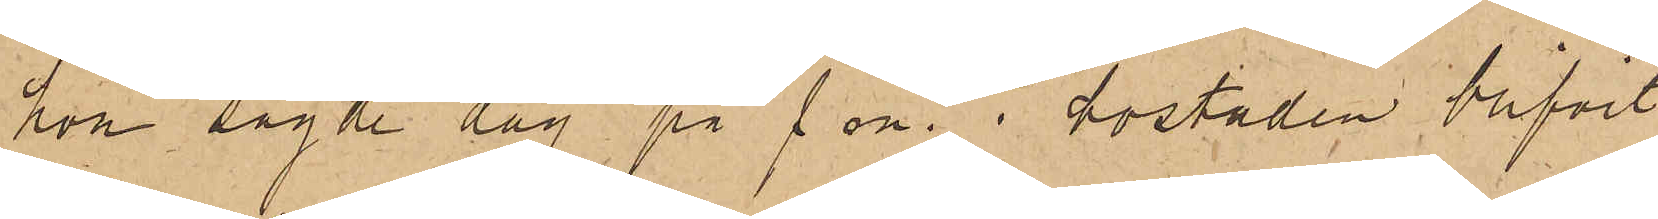hon sagde dag på f. m. i bostaden blifvit
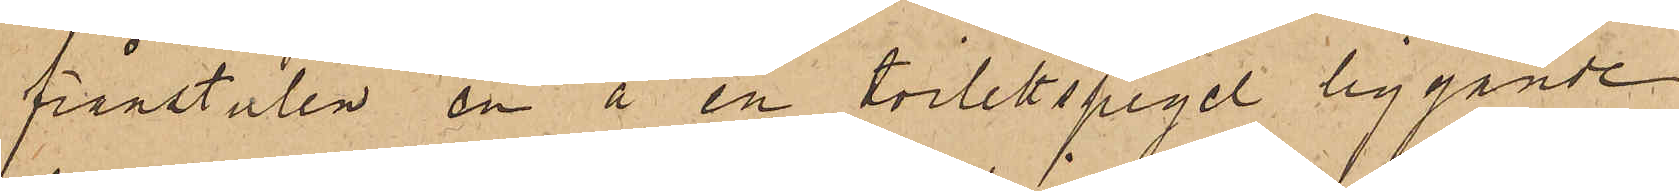frånstulen en å en toilettspegel liggande
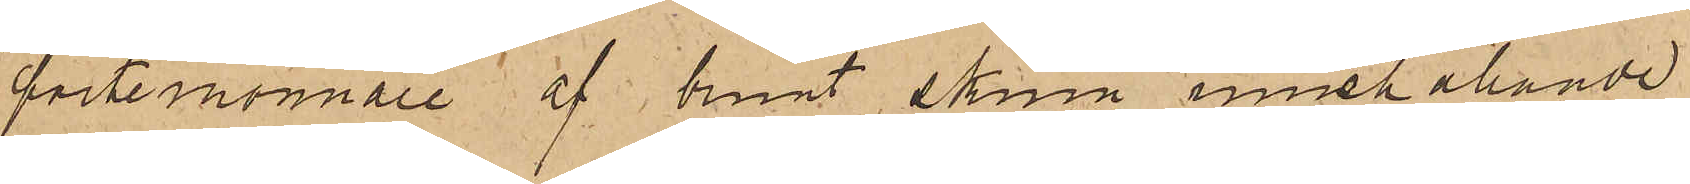portemonnaie af brunt skinn innehållande
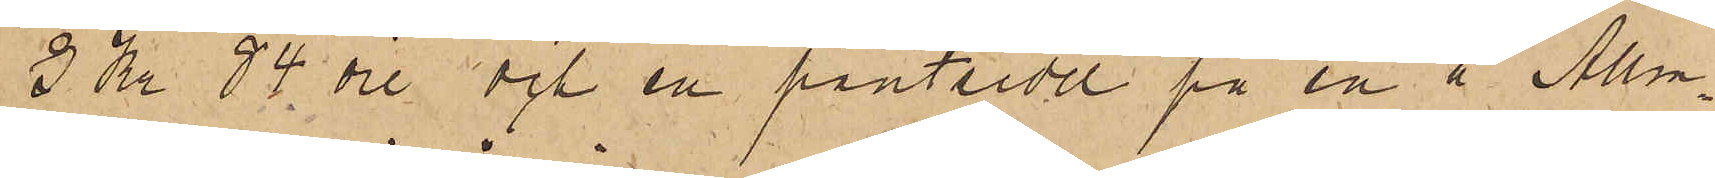3 Kr. 84 öre och en pantsedel på en å Allm.
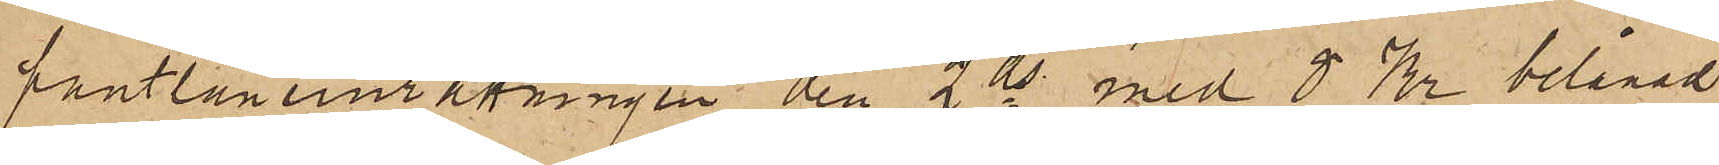pantlåneinräkningen den 2 ds med 8 Kr belånad
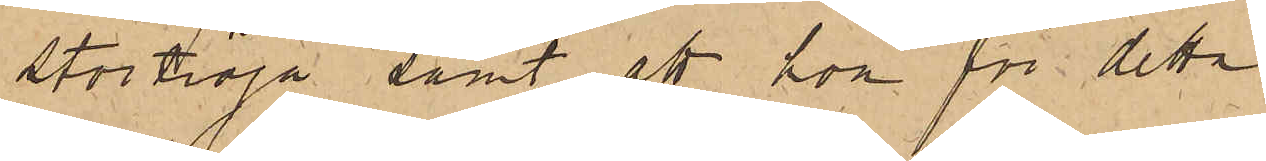Stortröja, samt att hon för detta
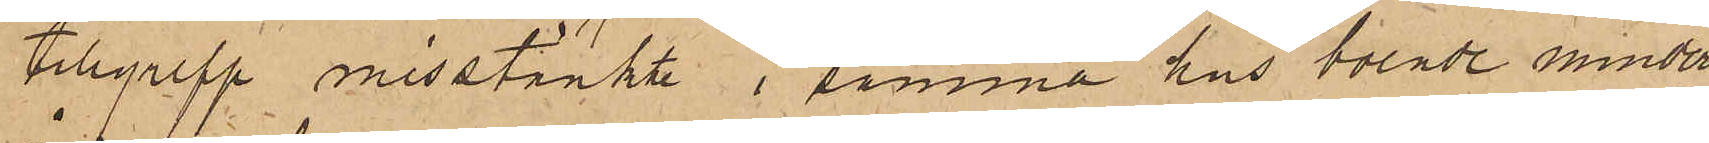tillgrepp misstänkte i samma hus boende minder¬
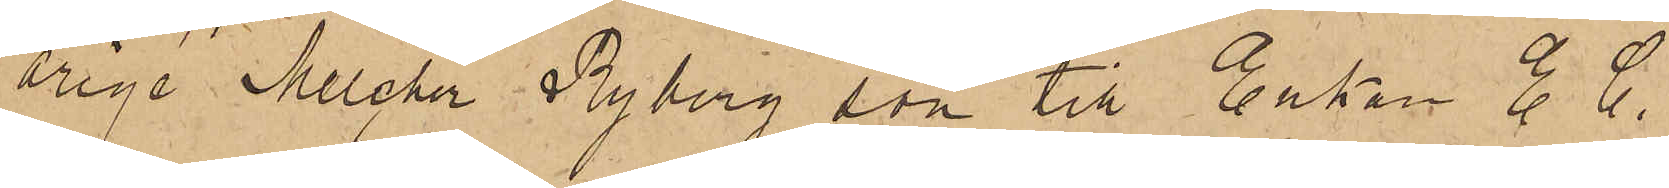åriga Melcher Nyberg son till Enkan E. C.
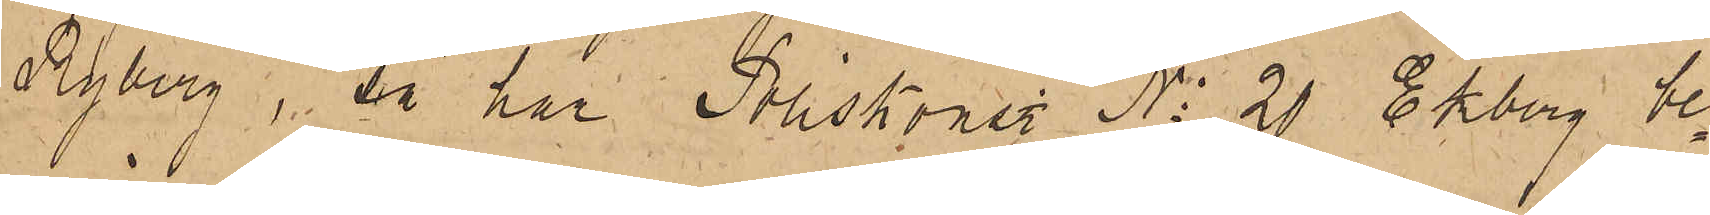Ryberg, så har Poliskonst. No 20 Ekberg be¬
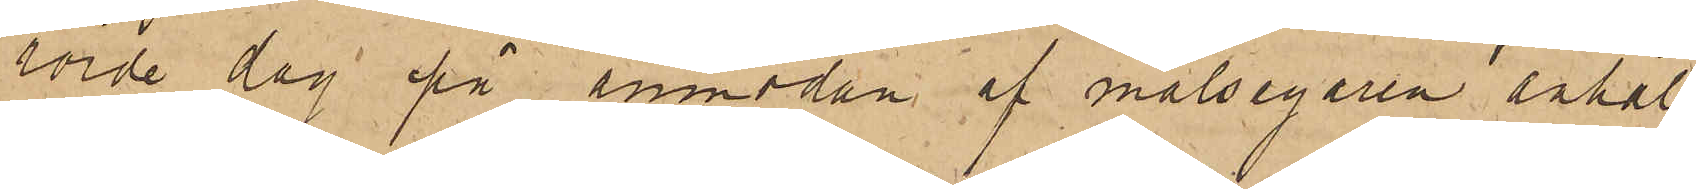rörde dag på anmodan af målsegaren anhål¬
